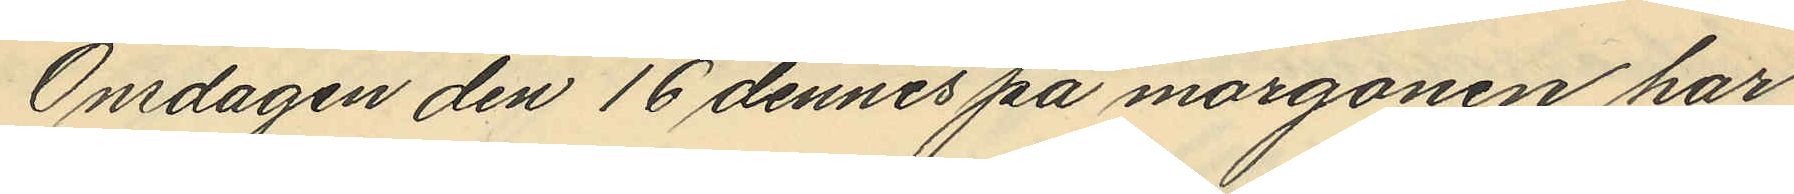Onsdagen den 16 dennes på morgonen har
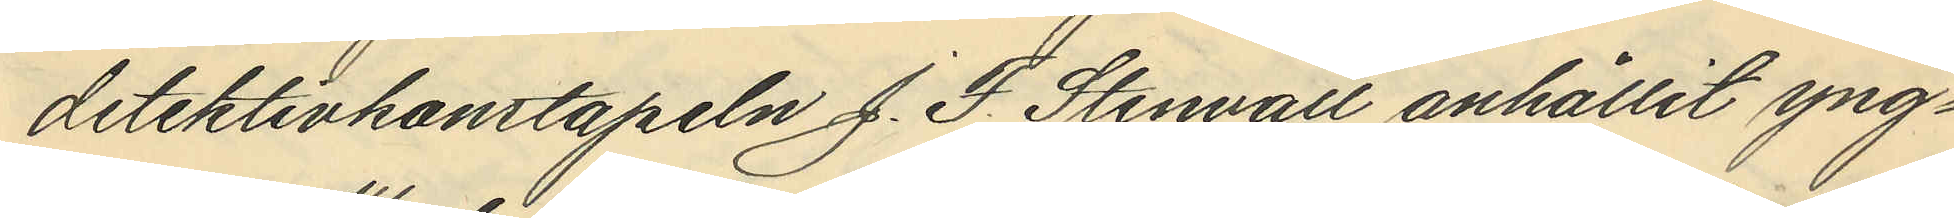detektivkonstapeln J. F. Stenvall anhållit yng¬
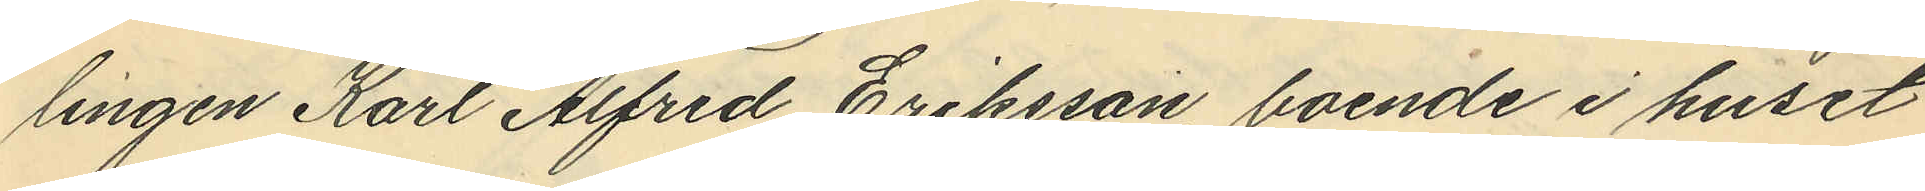lingen Karl Alfred Eriksson, boende i huset
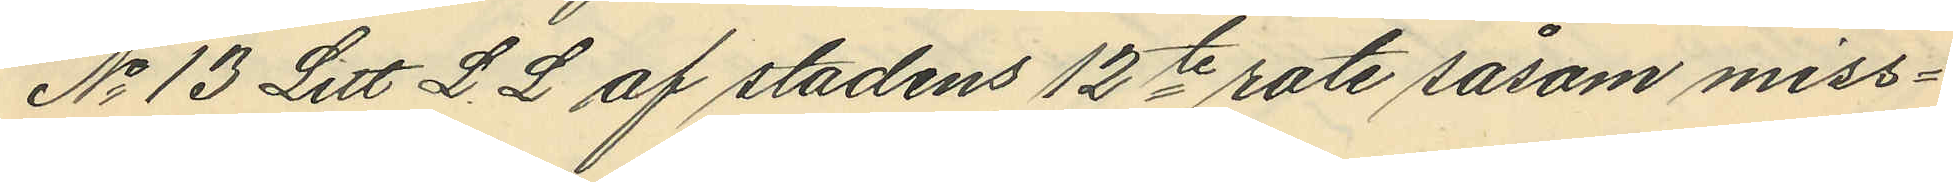No 13 Litt L. L af stadens 12te rote såsom miss¬
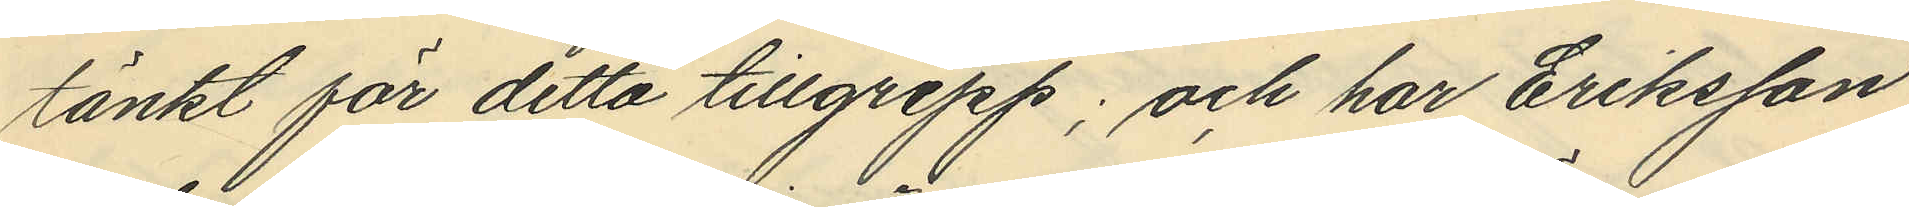tänkt för detta tillgrepp; och har Eriksson
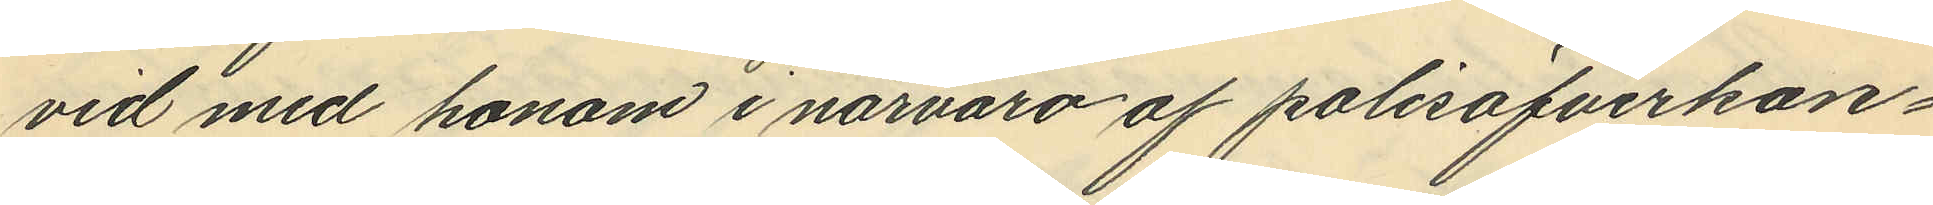vid med honom i närvaro af polisöfverkon¬
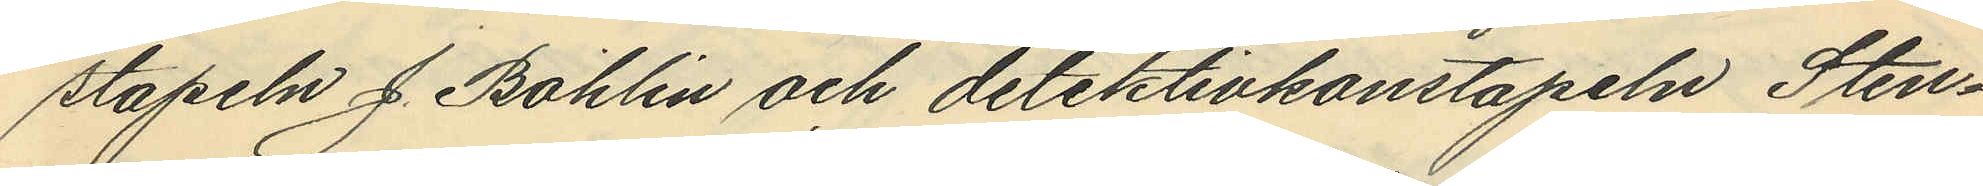stapeln J. Bohlin och detektivkonstapeln Sten¬
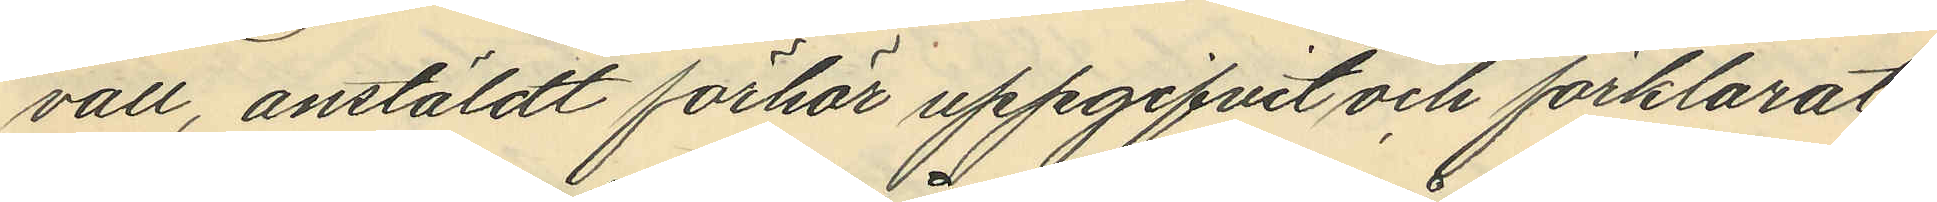vall, anstäldt förhör uppgifvit och förklarat,
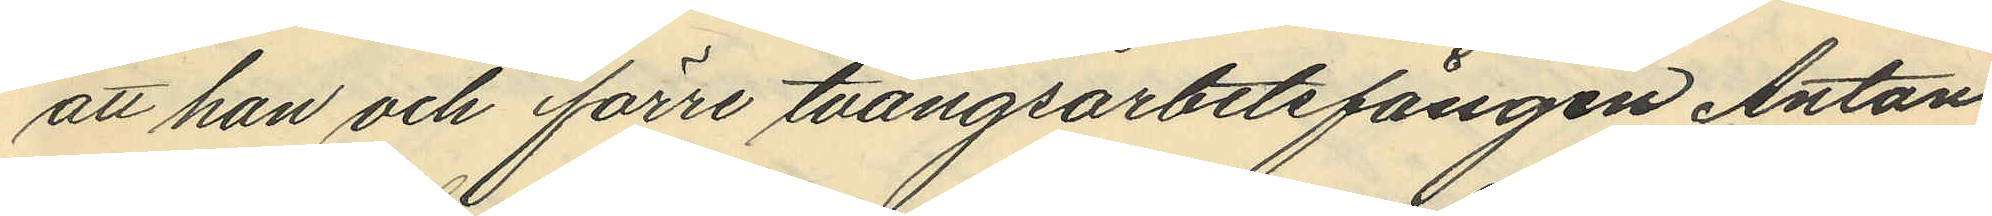att han och förre tvångsarbetsfången Anton
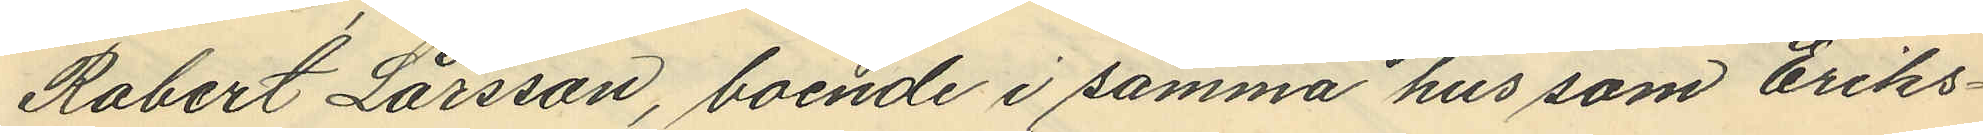Robert Larsson, boende i samma hus som Eriks¬
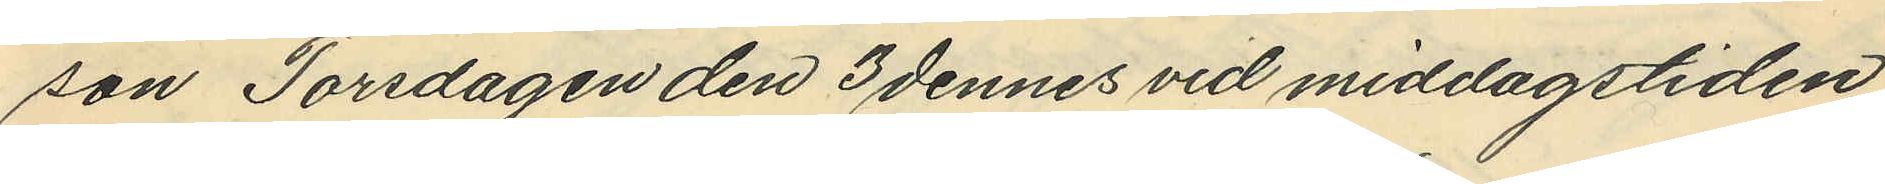son Torsdagen den 3 dennes vid middagstiden
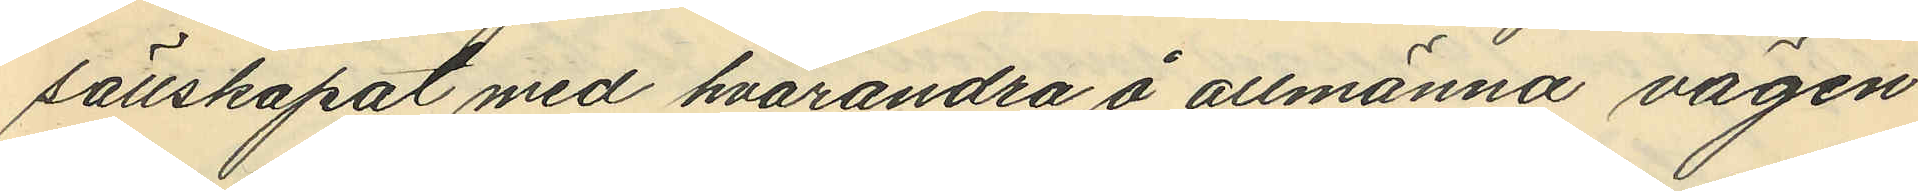sällskapat med hvarandra å allmänna vägen
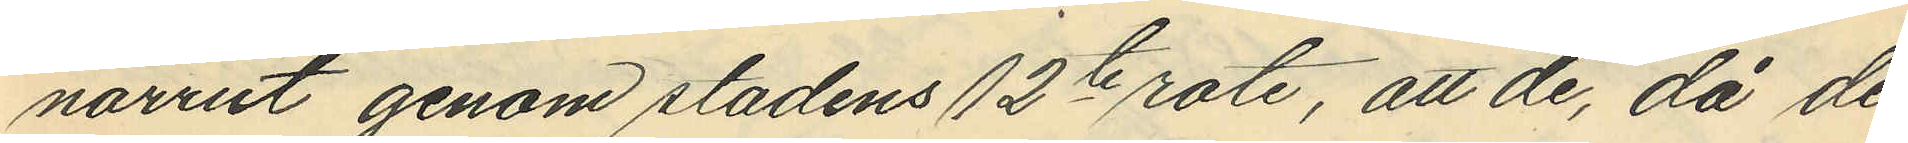norrut genom stadens 12te rote, att de, då de
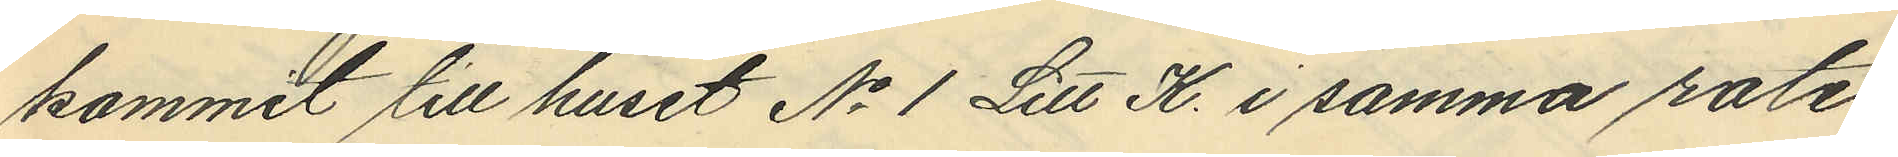kommit till huset No 1 Litt K. i samma rote,
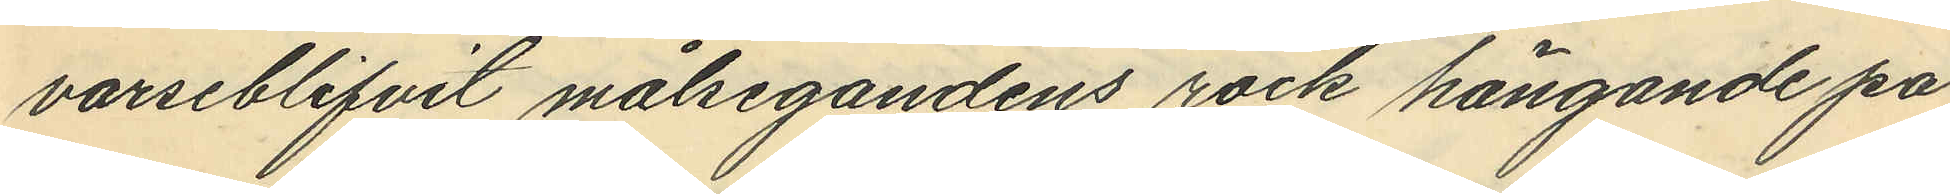varseblifvit målsegandens rock hängande på
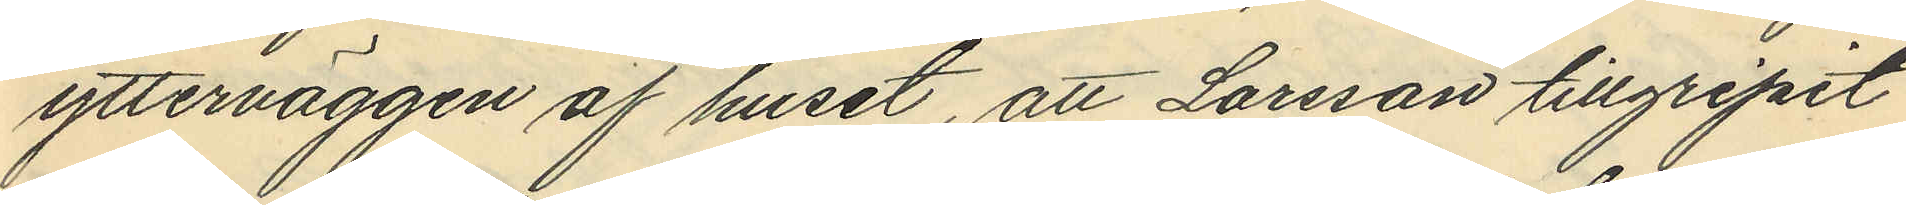ytterväggen af huset, att Larsson tillgripit
